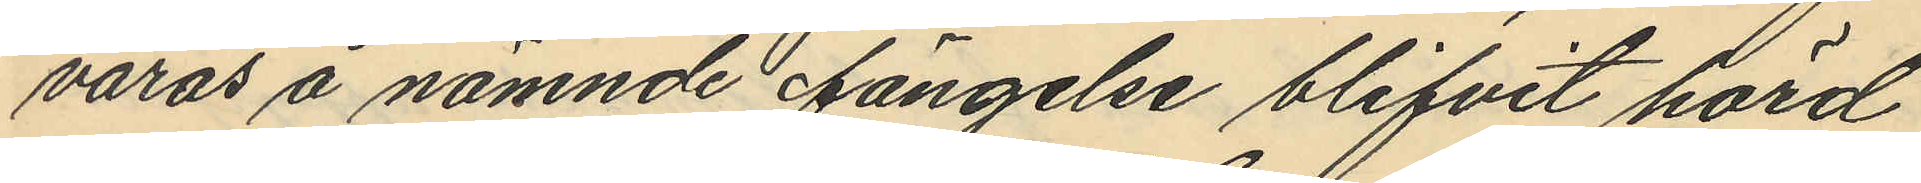varas å nämnde fängelse blifvit hörd
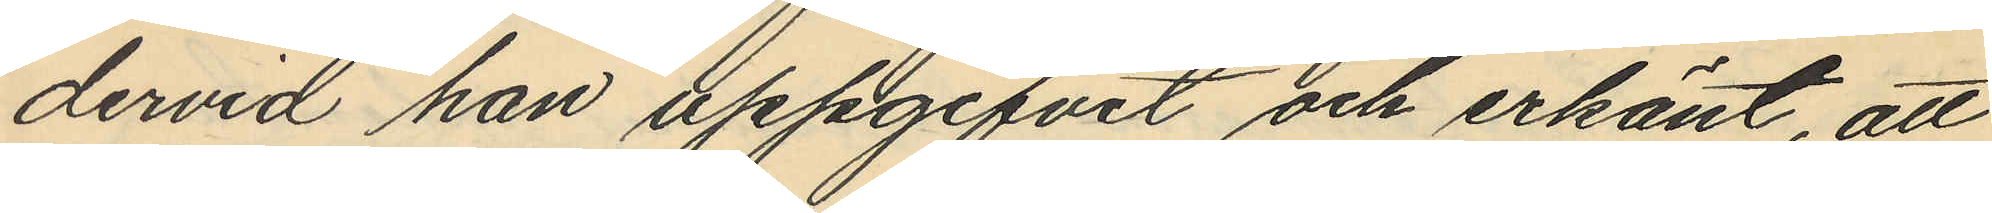dervid han uppgifvit och erkänt, att
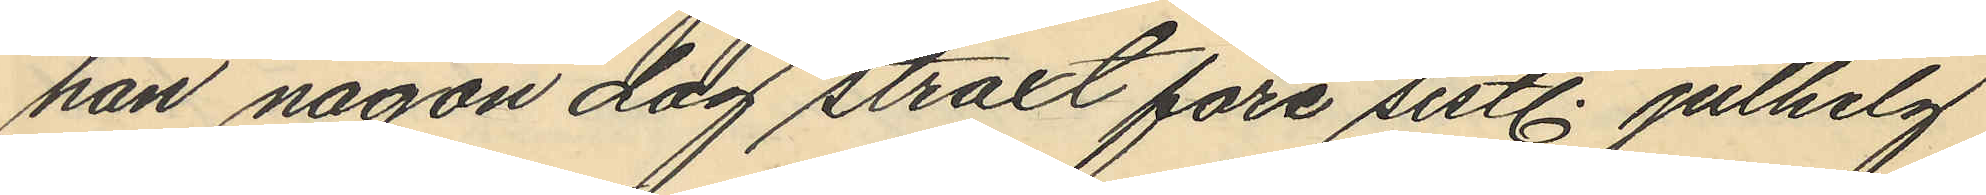han någon dag straxt före sistl. julhelg
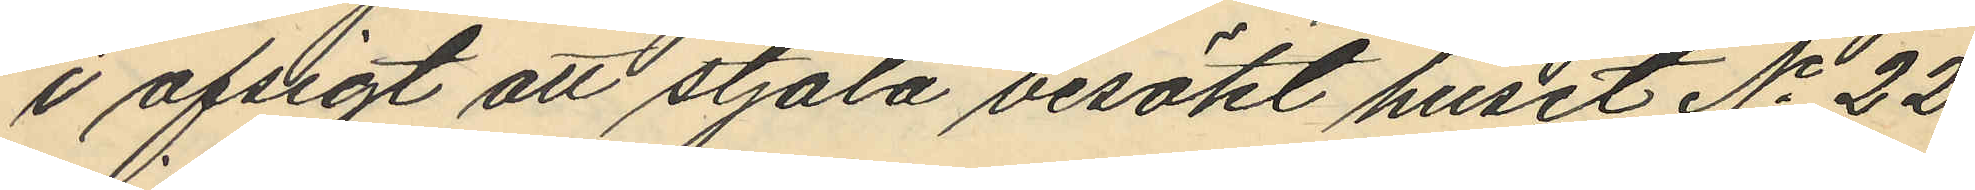i afsigt att stjäla besökt huset No 22
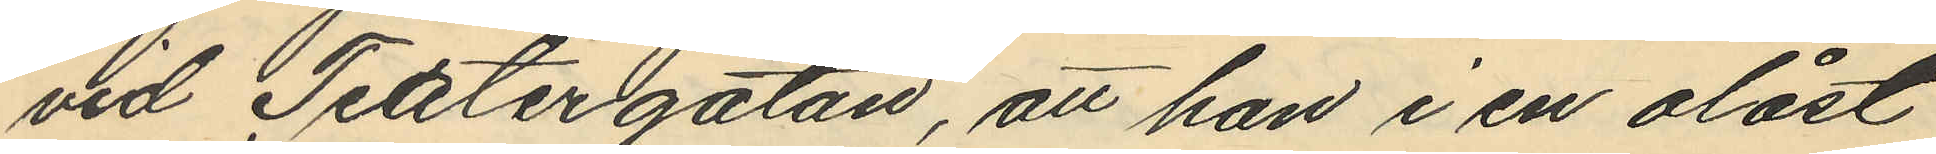vid Teatergatan, att han i en olåst
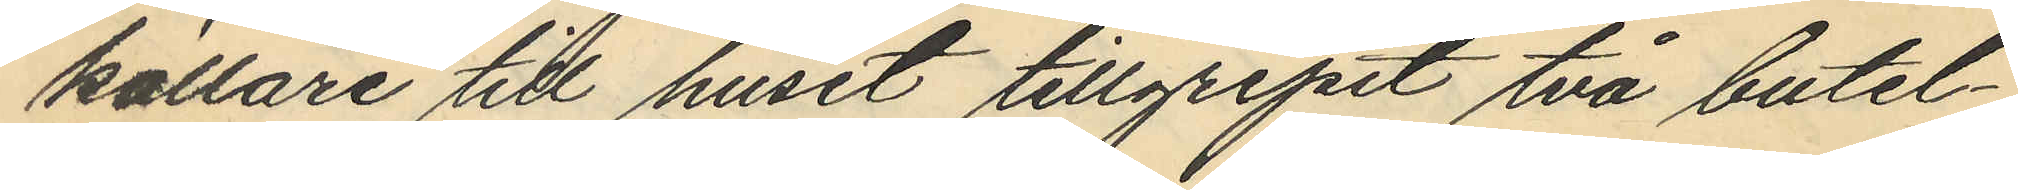källare till huset tillgripit två butel¬
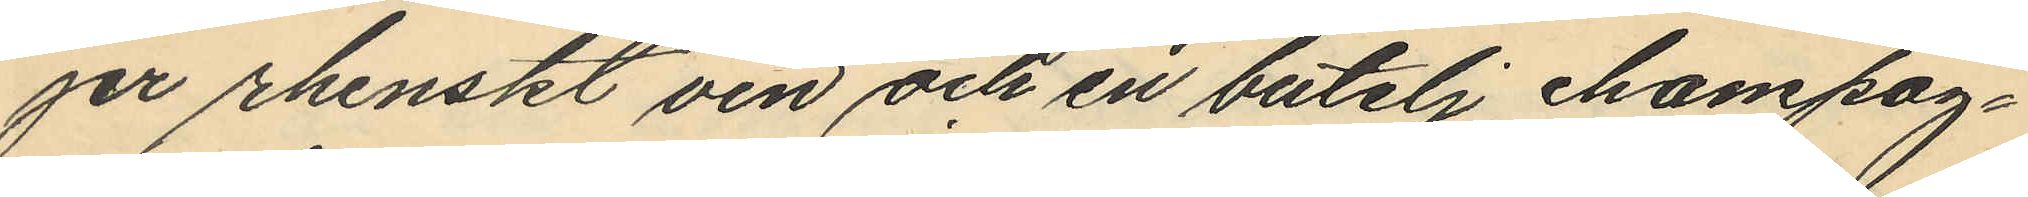jer rhenskt vin och en butelj champag¬
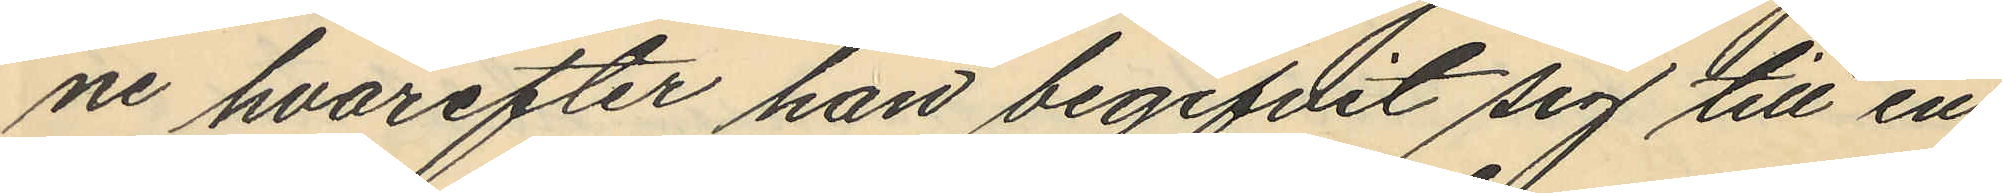ne hvarefter han begifvit sig till en
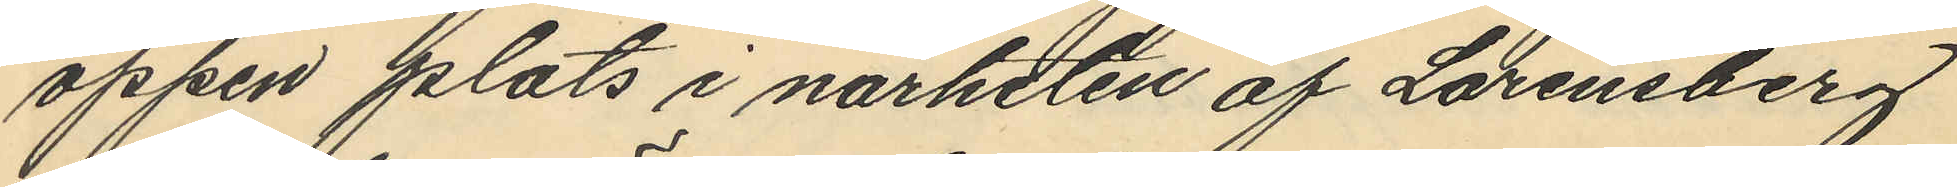öppen plats i närheten af Lorensberg
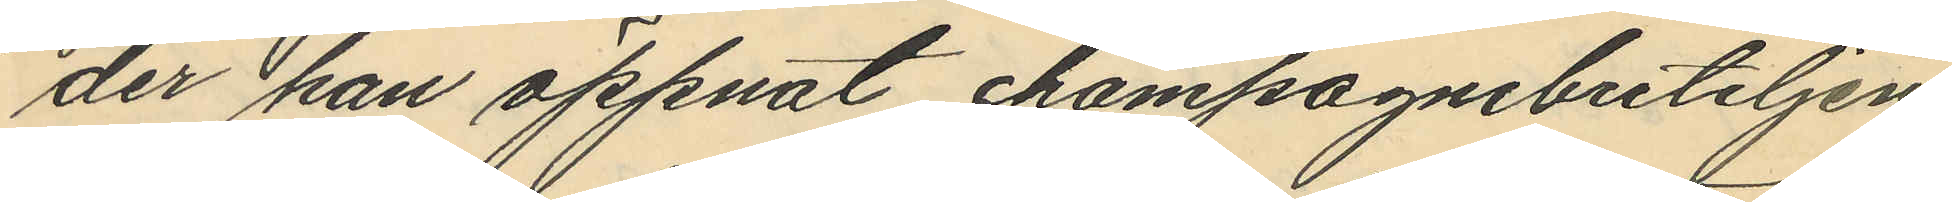der han öppnat champagnebuteljen
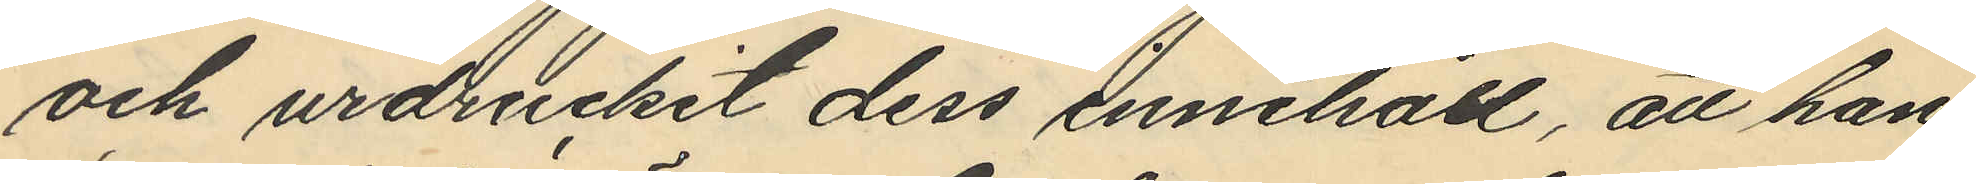och urdruckit dess innehåll, att han
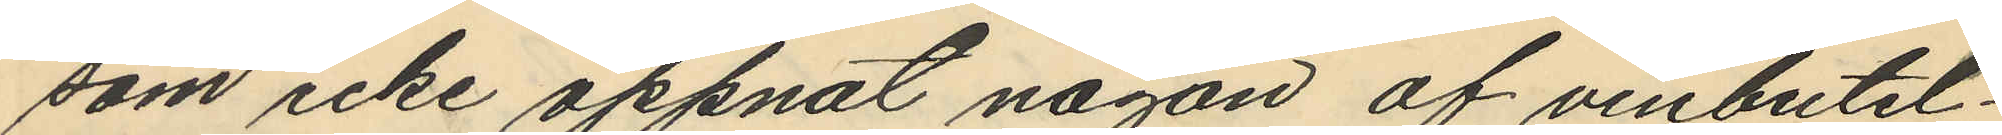som icke öppnat någon af vinbutel¬
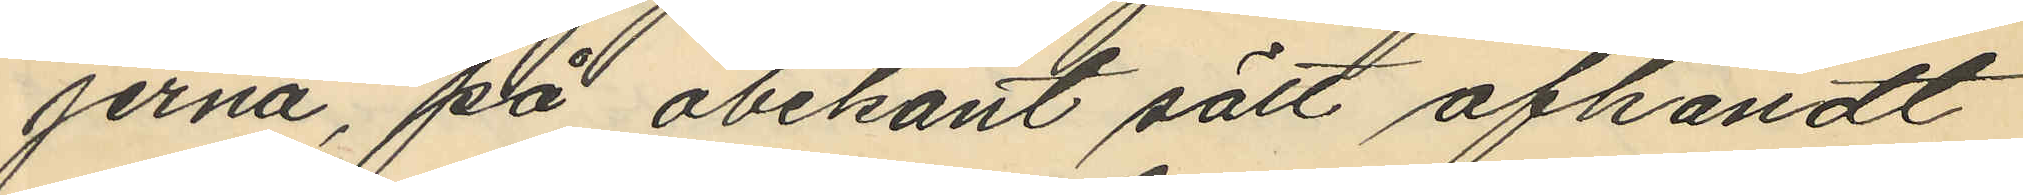jerna, på obekant sätt afhändt
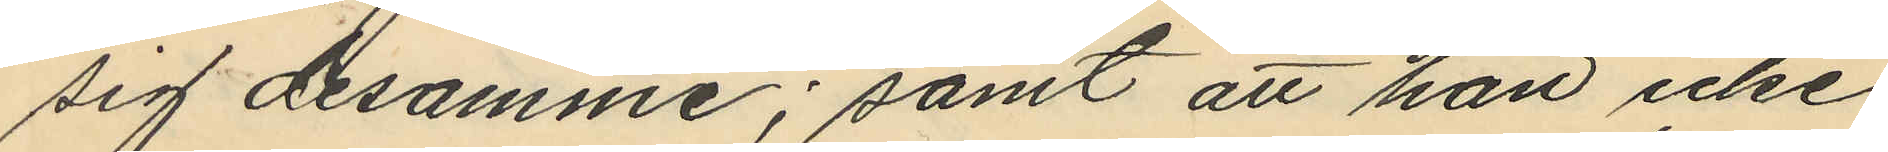sig desamme; samt att han icke
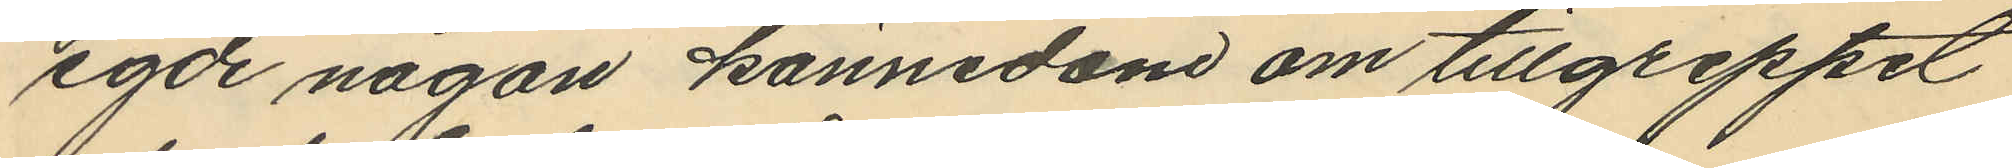egde någon kännedom om tillgreppet
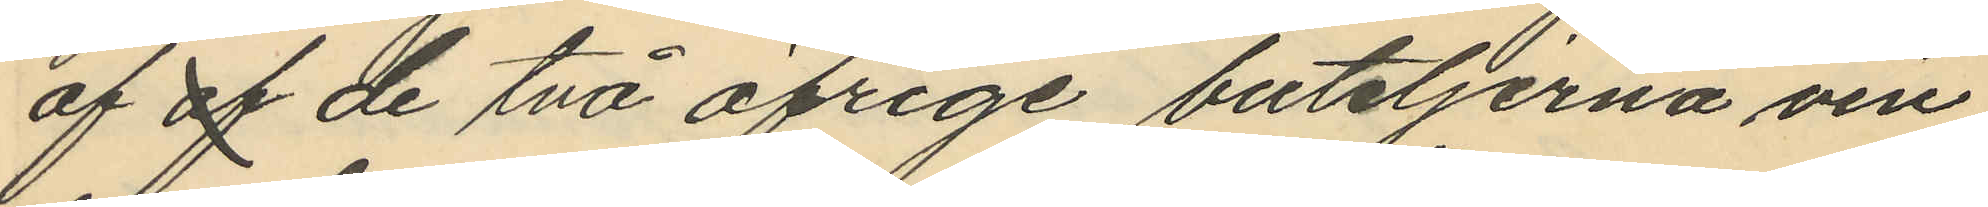af af de två öfrige buteljerna vin
